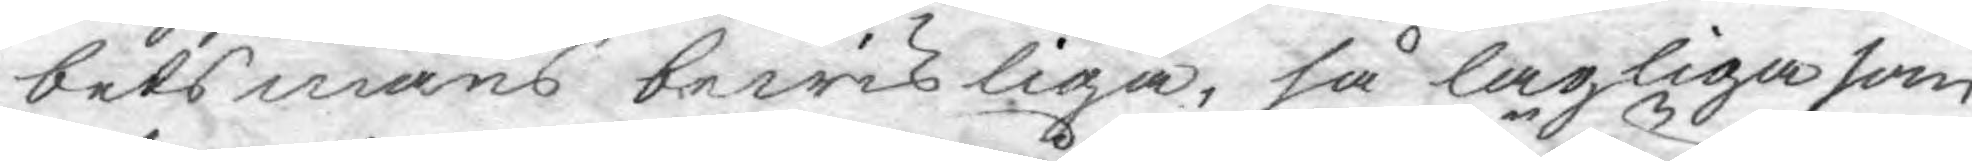betsmäns bewisliga, så lagliga som
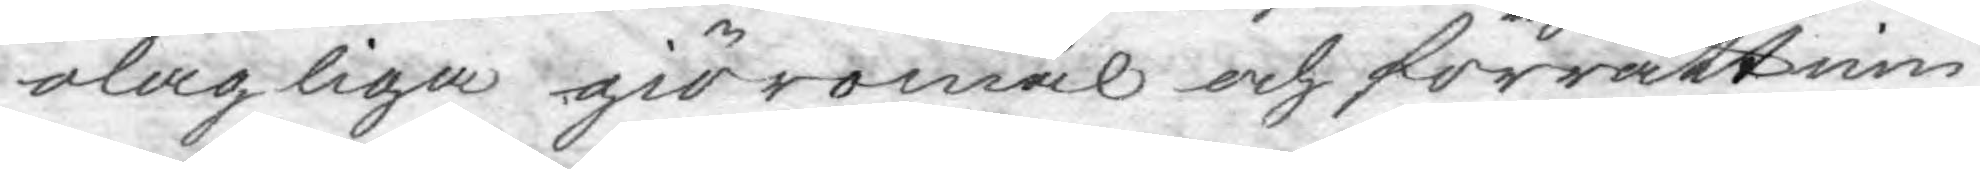olagliga giöromål och förrättnin¬
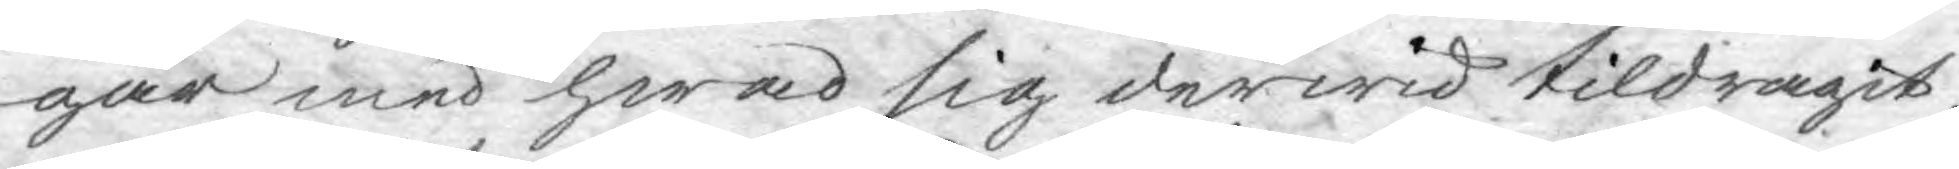gar med hwad sig derwid tildragit,
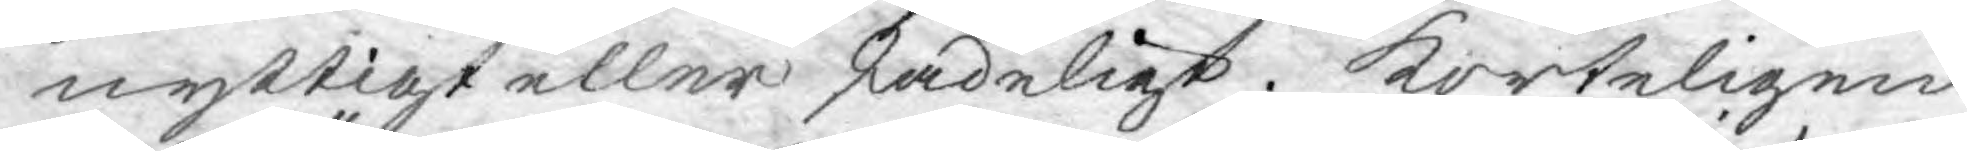nyttigt eller skadeligt. Korteligen
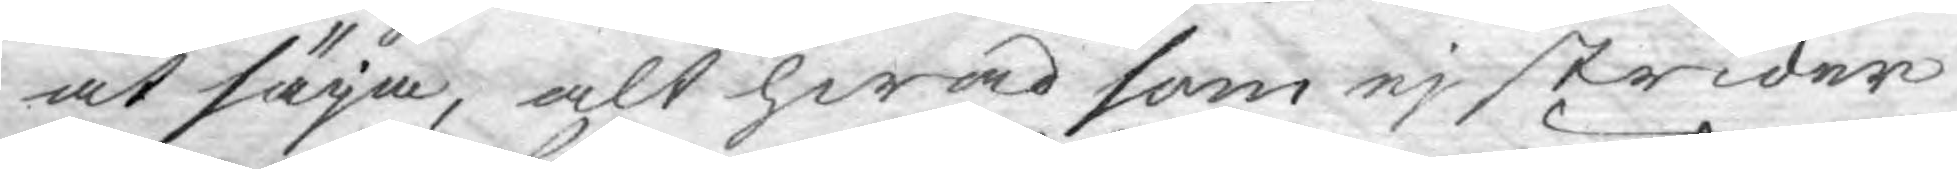at säja, alt hwad som ej strider
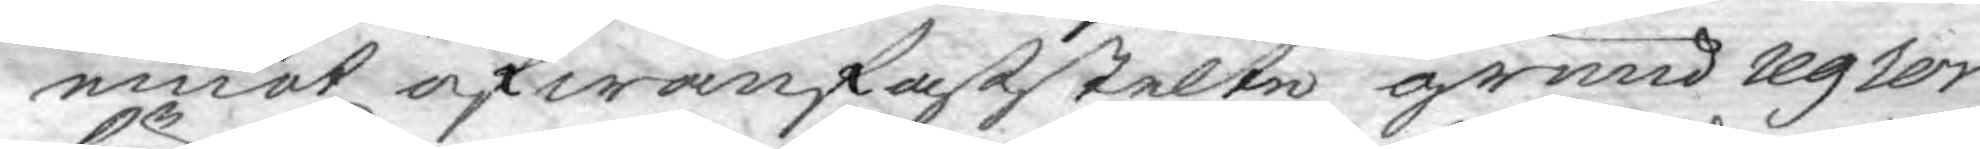emot ofwanfaststelte grund regler
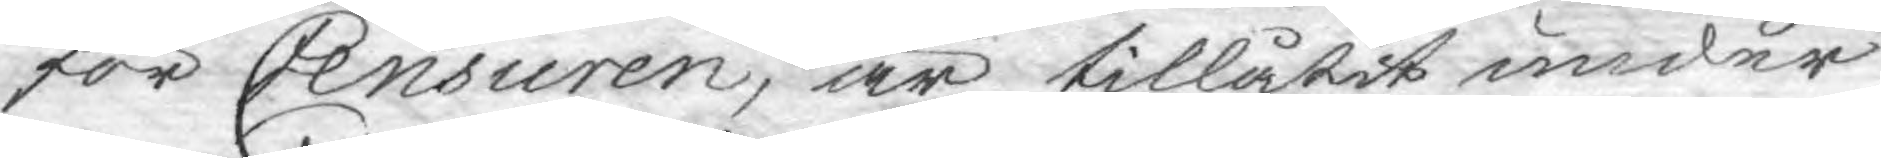för Censuren, är tillåtit under
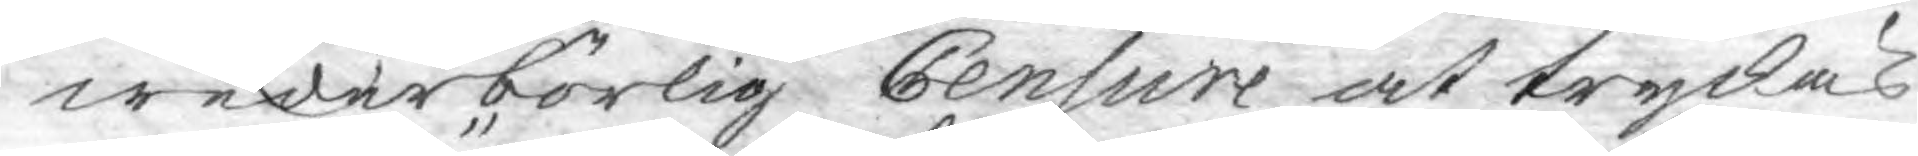wederbörlig Censure at tryckas.
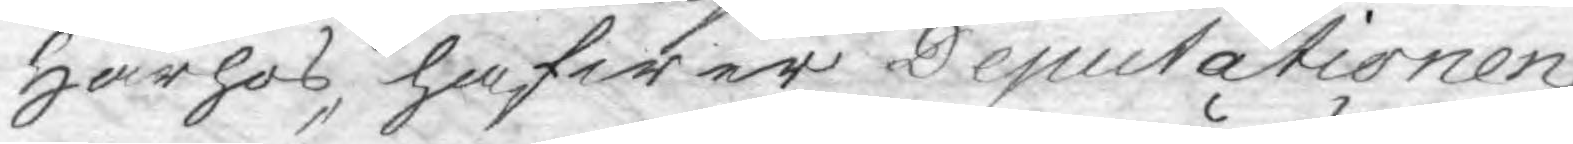Härhos hafwer Deputationen
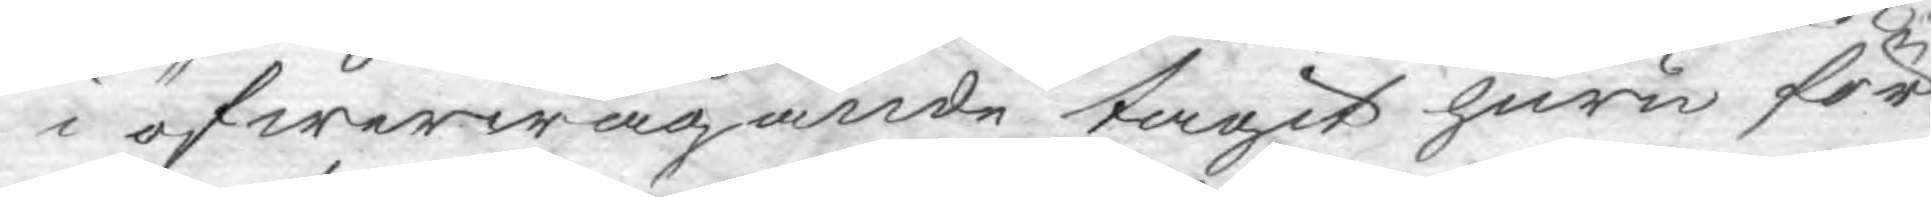i öfwerwägande tagit huru för¬
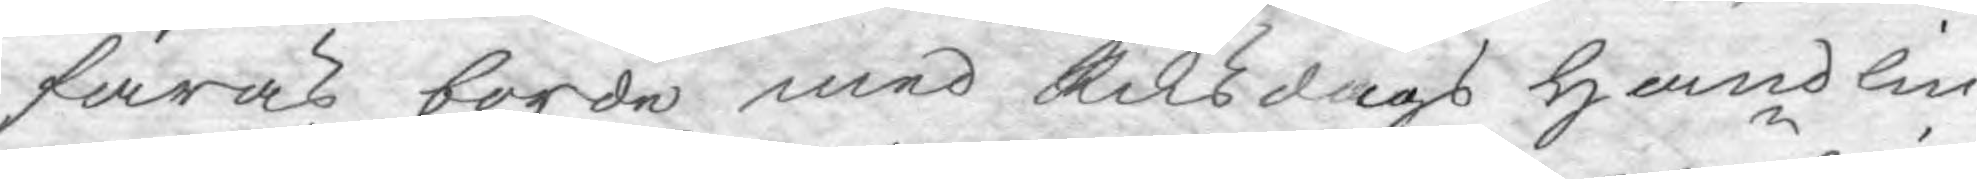faras borde med Riksdags handlin¬
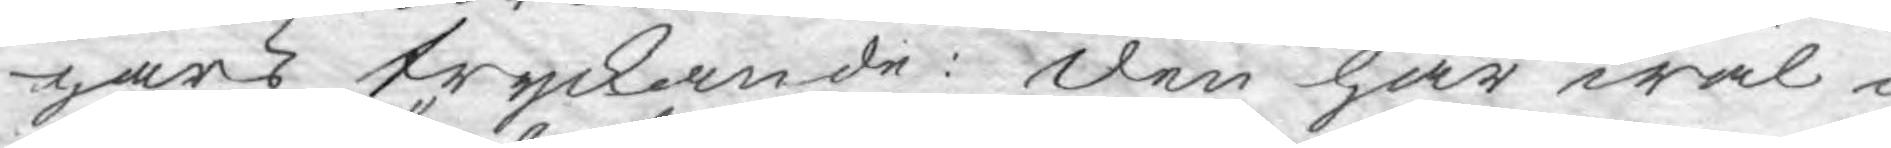gars tryckande: den har wäl i
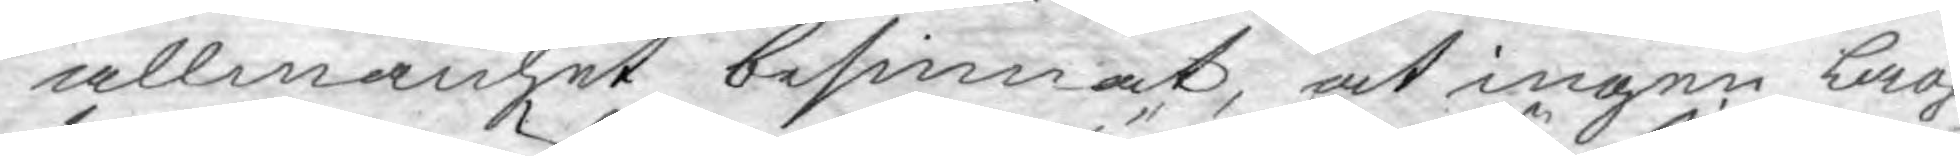allmänhet besinnat, at ingen Lag
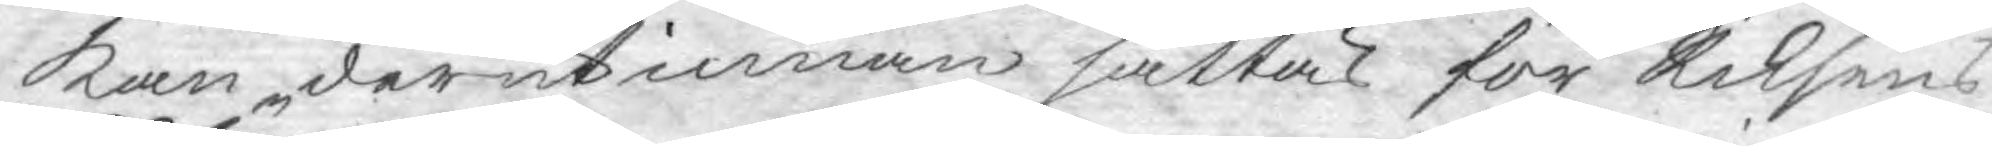kan derutinnan sättas för Riksens
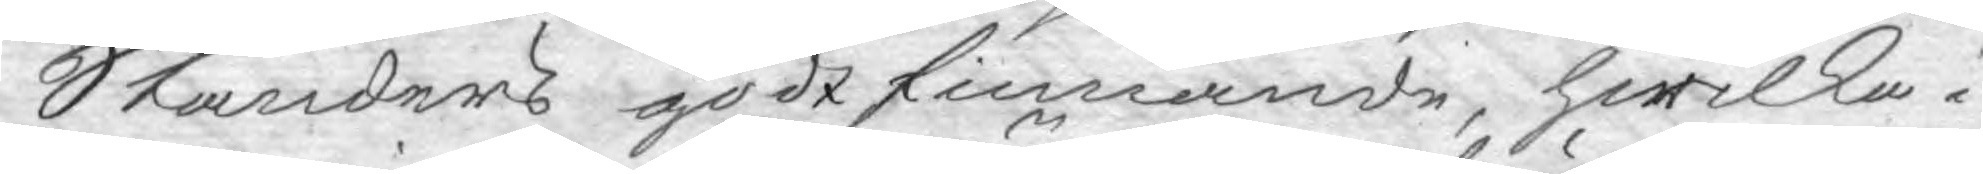Ständers godtfinnande, hwilka i
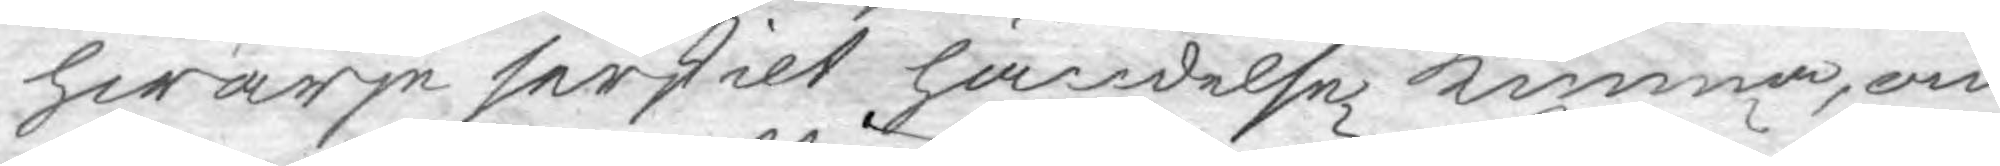hwarje serskilt händelse kunna, om
